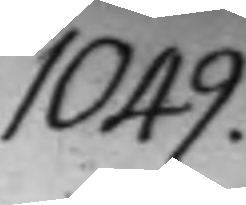1049.
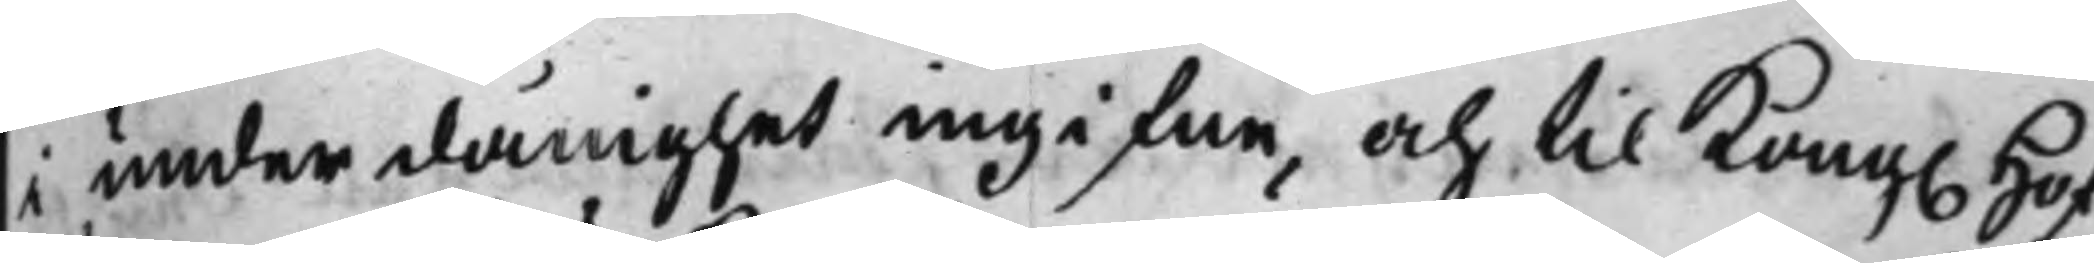i under dånighet ingifne, och til Kong. Hof¬
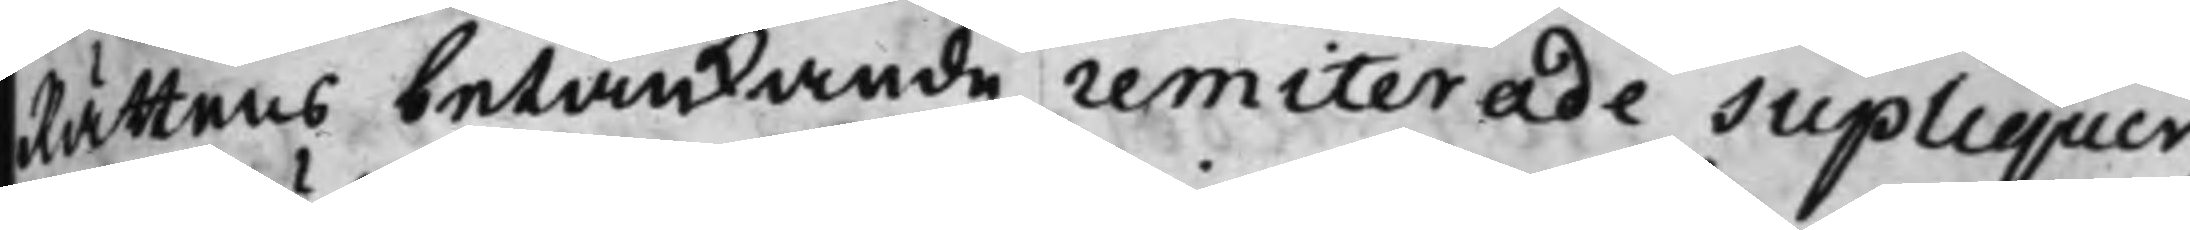Rättens betänkande remiterade Supliquer
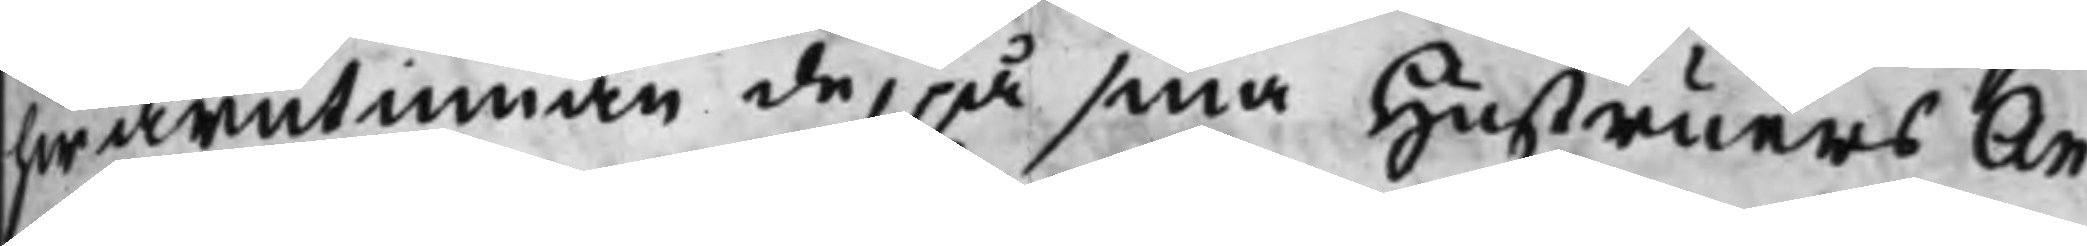hwarutinnan de, på sina Hustruers An¬
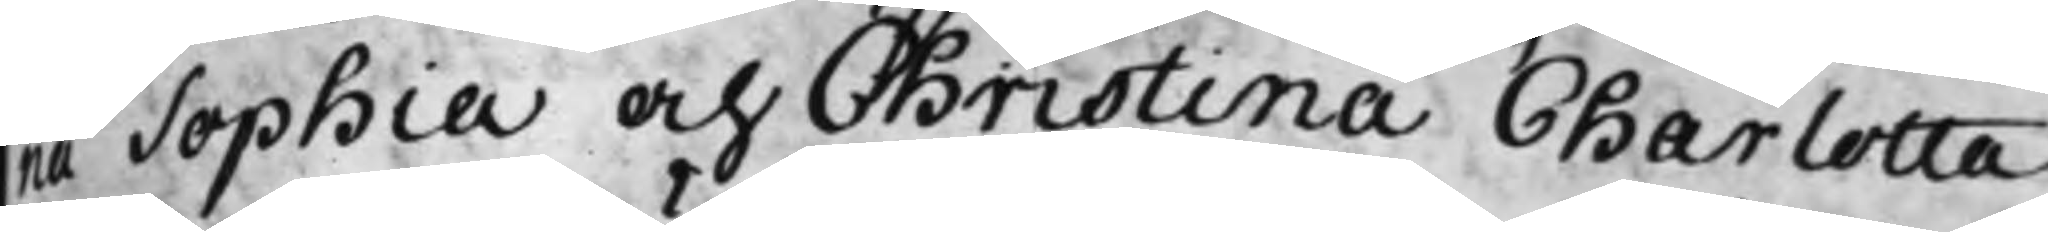na Sophia och Christina Charlotta
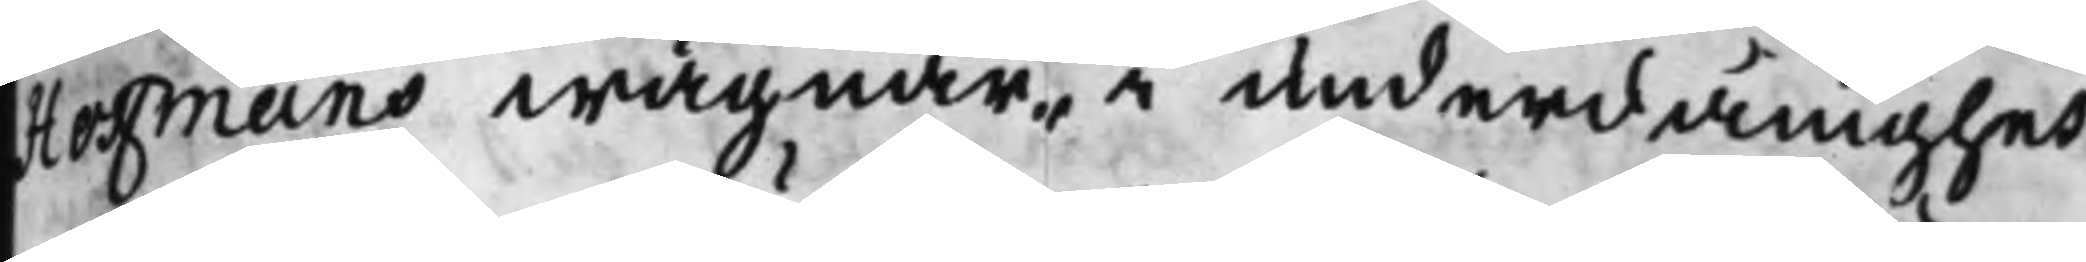Hoffmans wägnar, i underdånighet
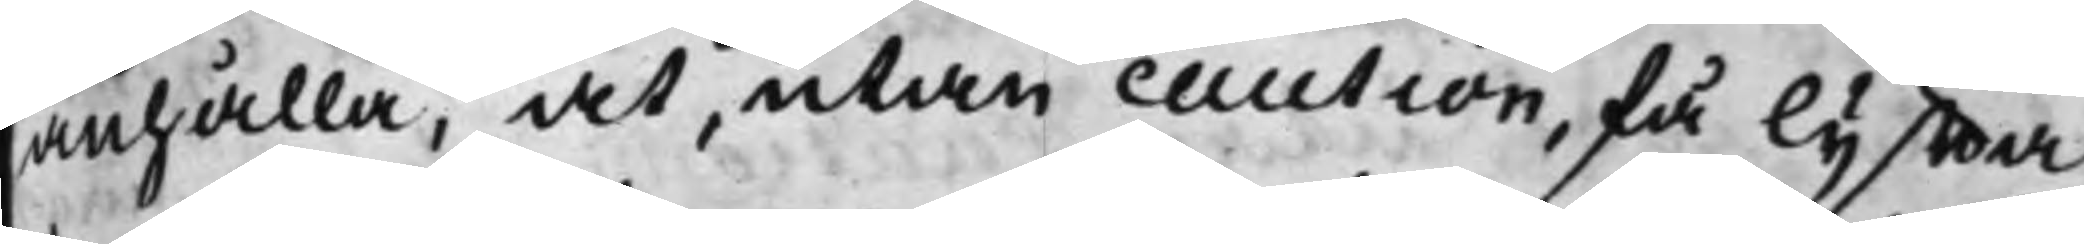anhålla, at, utan caution, få lyffta
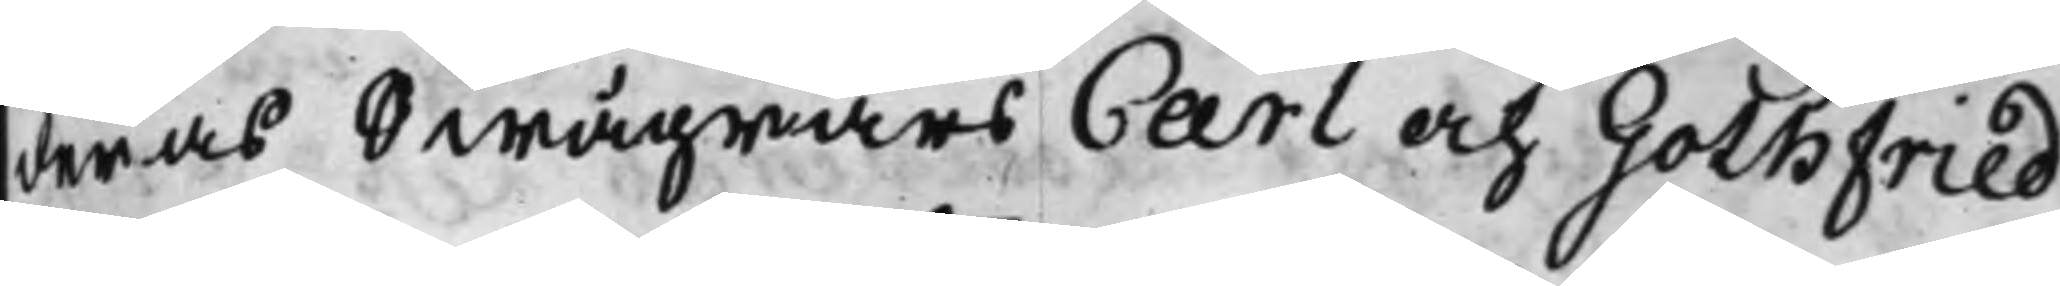deras Swägrars Carl och Gothfried
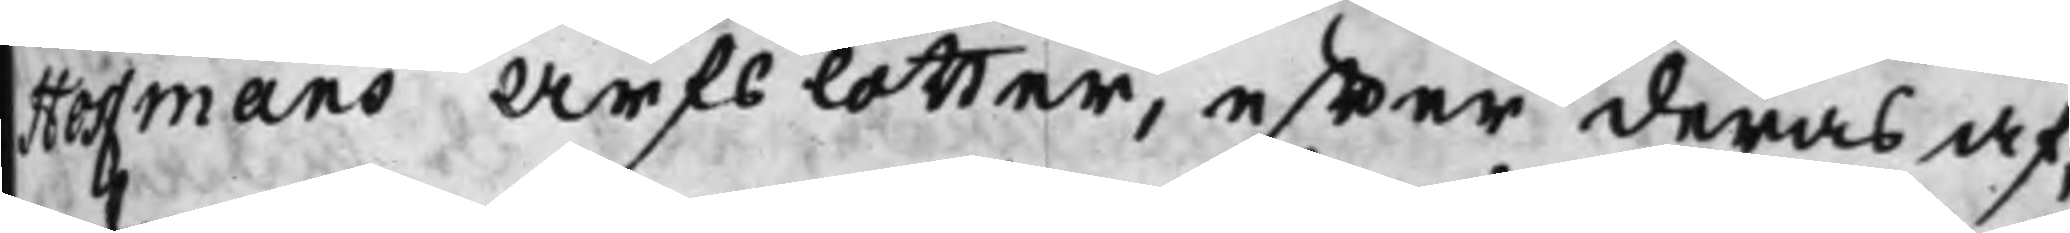Hoffmans Arfslotter, effter deras af¬
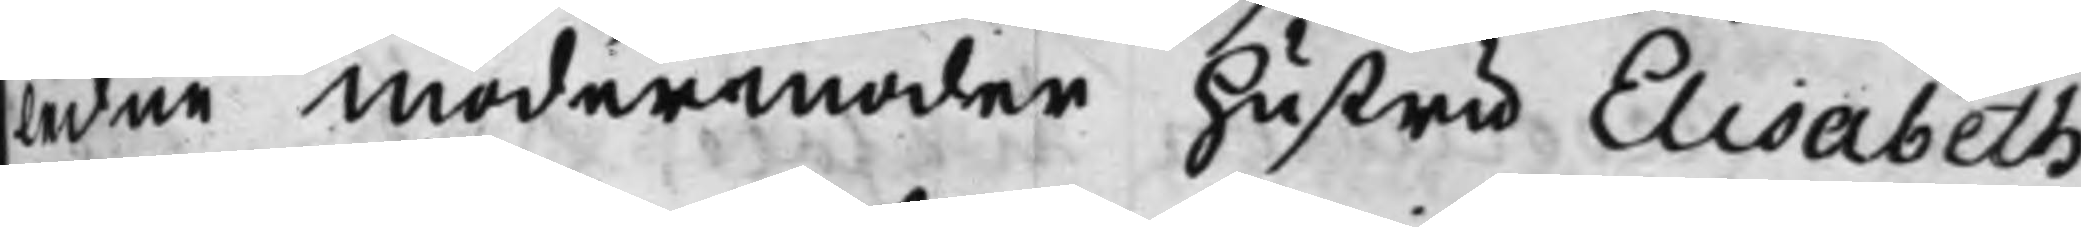ledne modermoder hustru Elisabeth
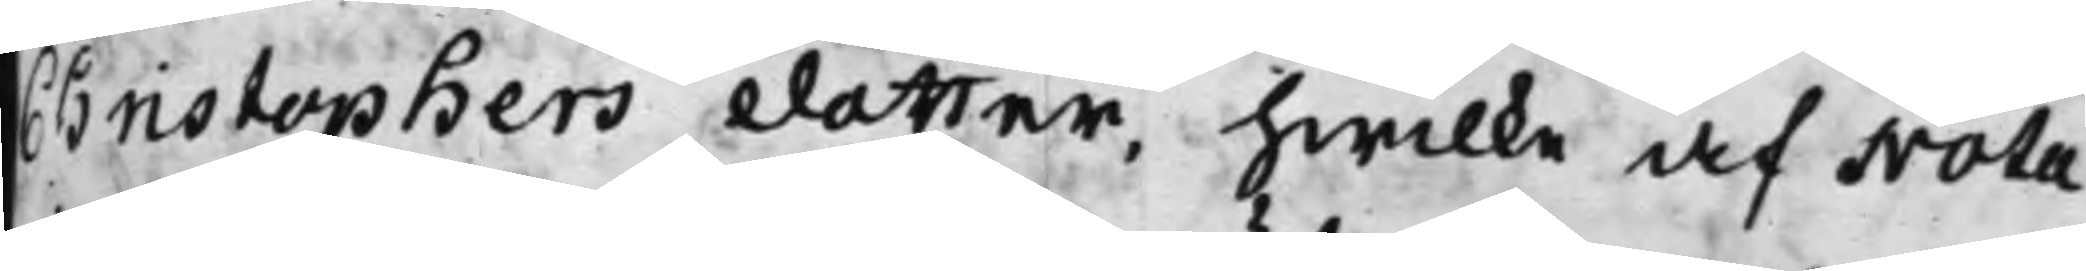Christophers dotter, hwilke af Nota¬
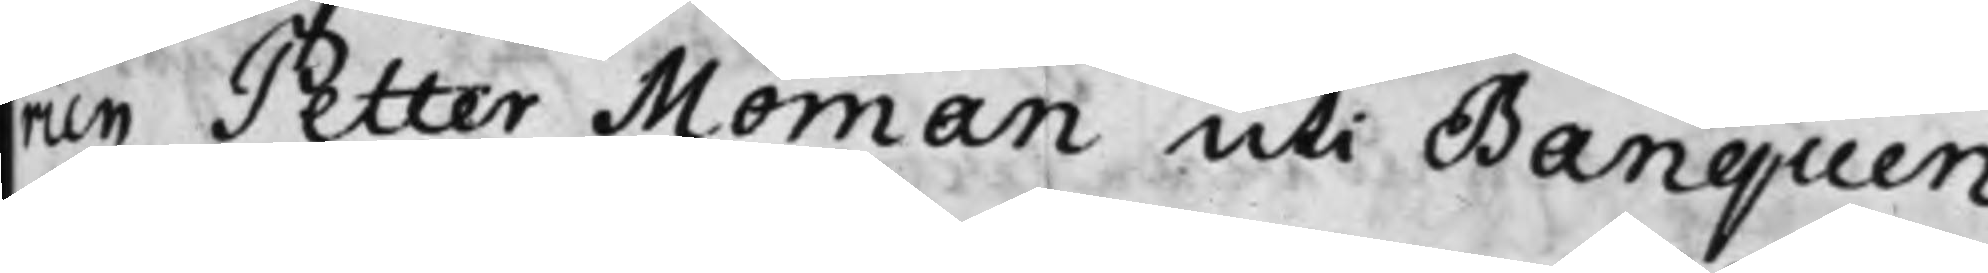rien Petter Moman uti Banquen
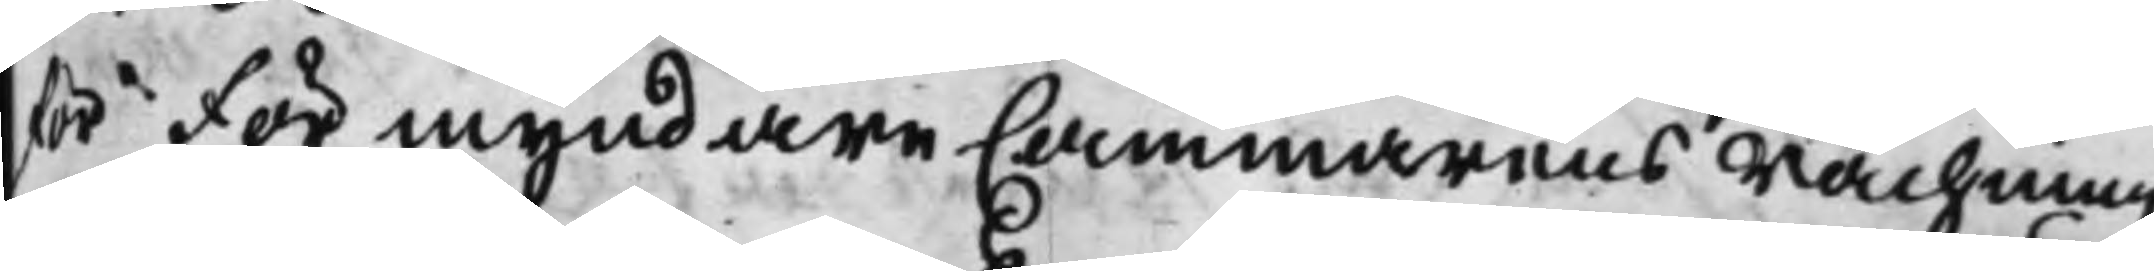för Förmyndare Cammarens rächning
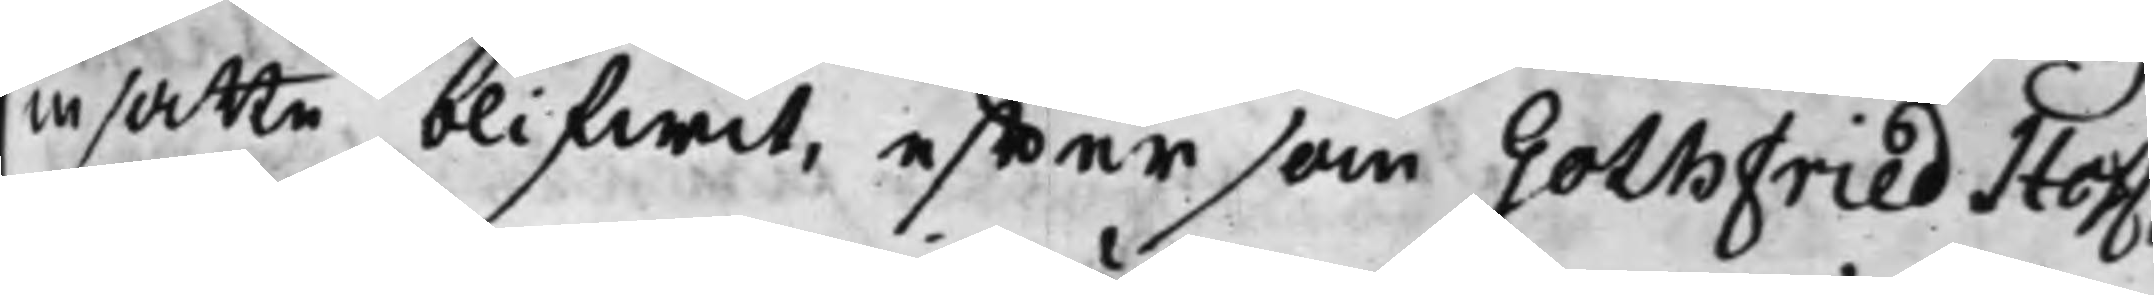insatte blifwit, effter som Gothfried Hoff¬
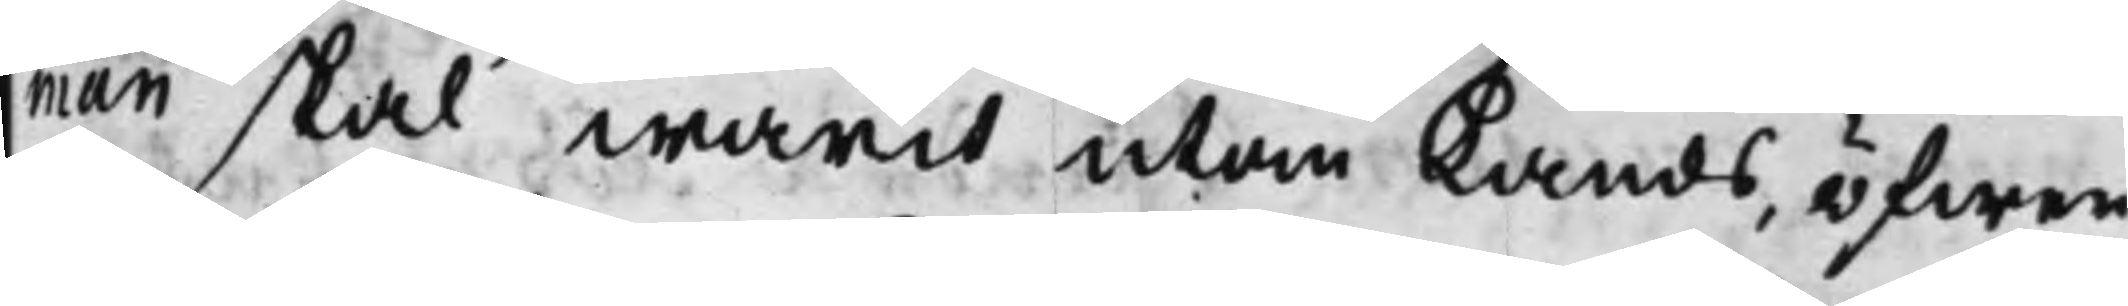man skal warit utan Lands, öfwer
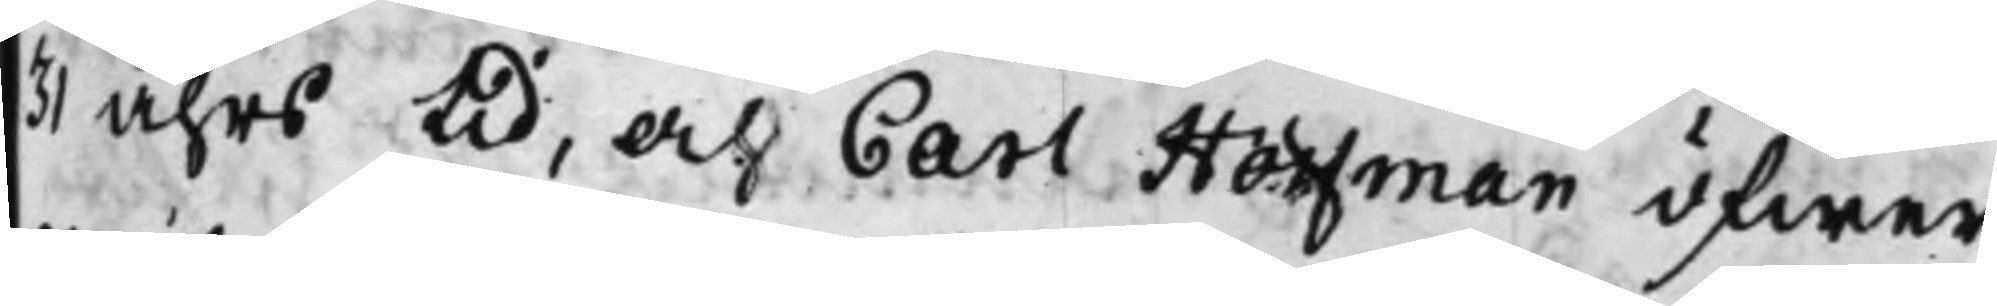31 åhrs tid, och Carl Hoffman öfwer
